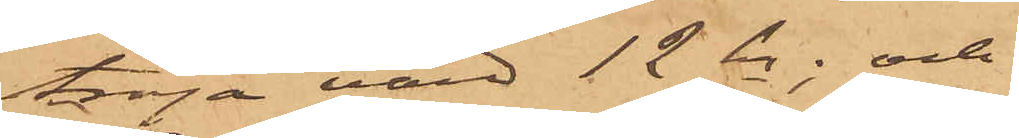tröja värd 12 kr; och
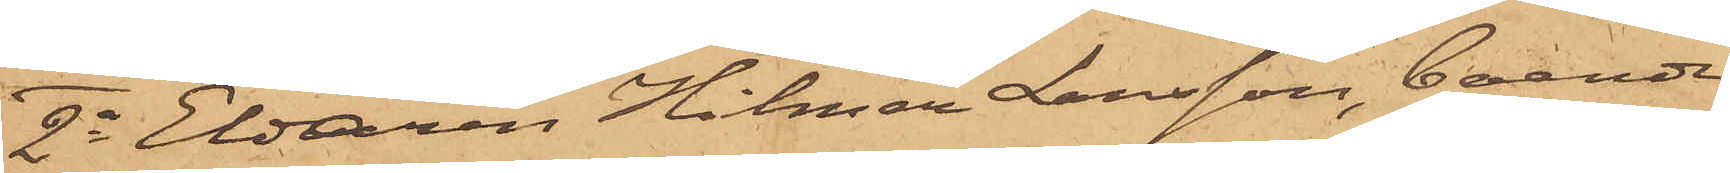2o Eldaren Hilmer Larsson, boende
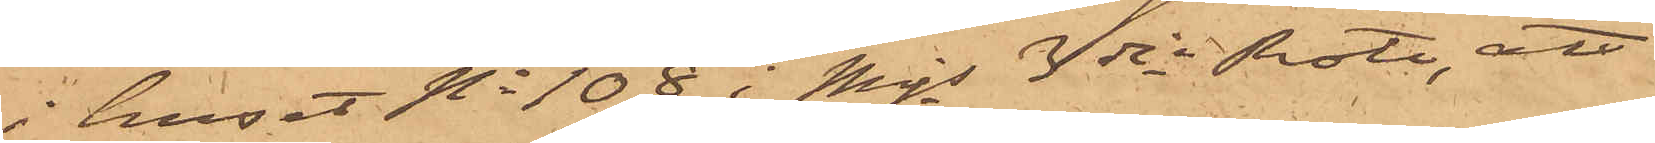i huset No 108 i Mjs 3dje Rote, att
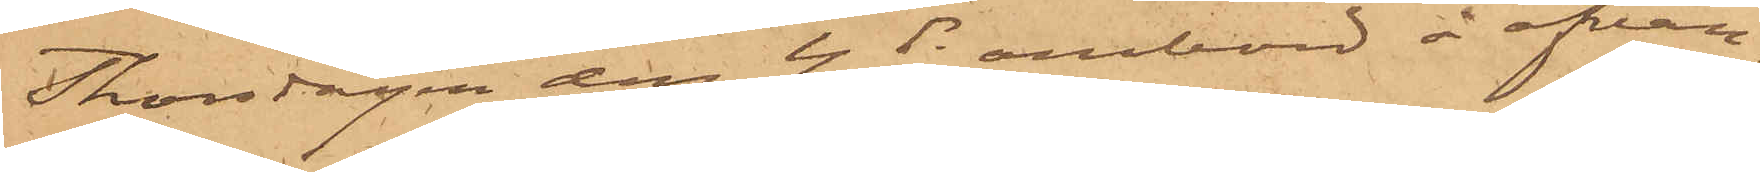Thorsdagen den 4 ds ombord å ofvan¬
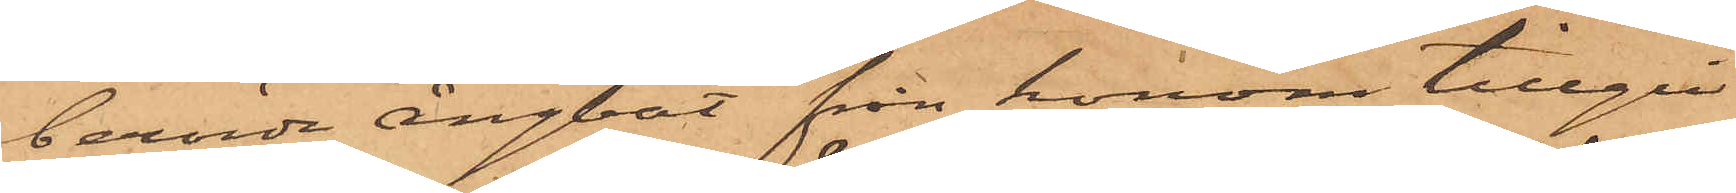berörde ångbåt, från honom tillgri¬
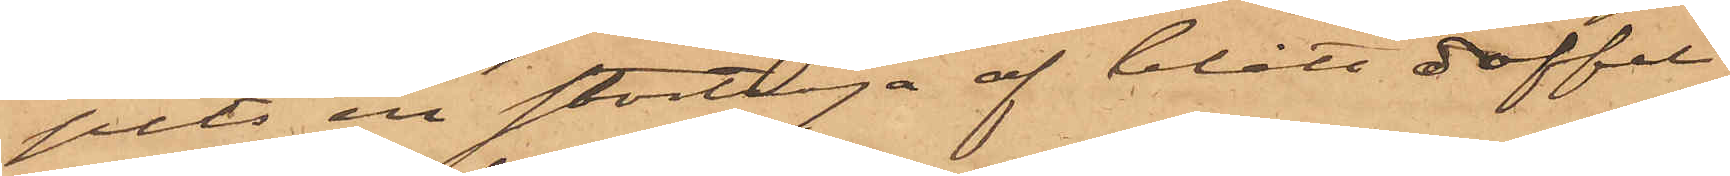pits en stortröja af blått doffel
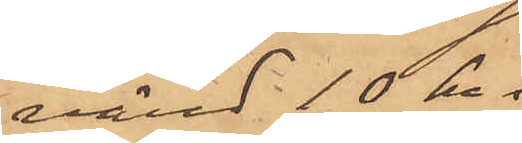värd 10 kr.
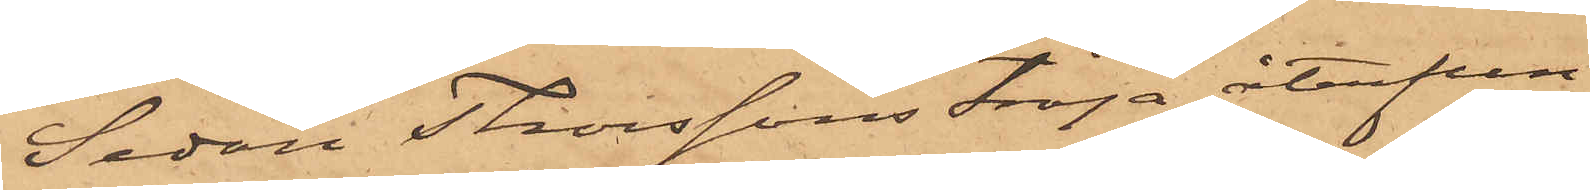Sedan Thorssons tröja återfun¬
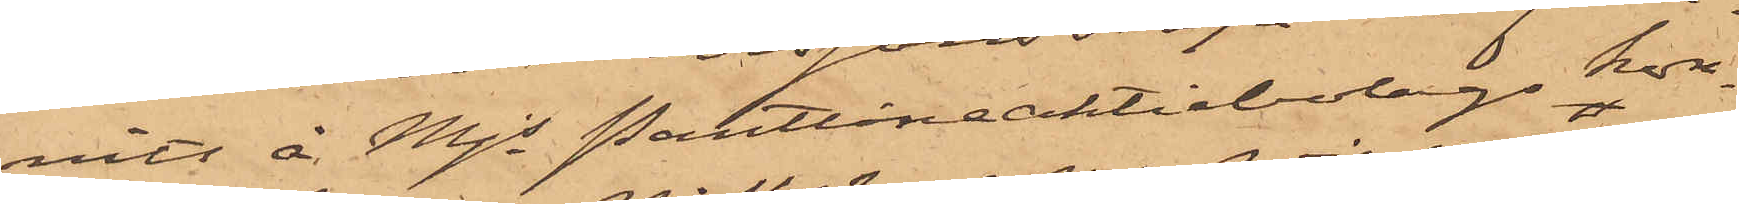nits å Mjs Pantlåneaktiebolags kon¬
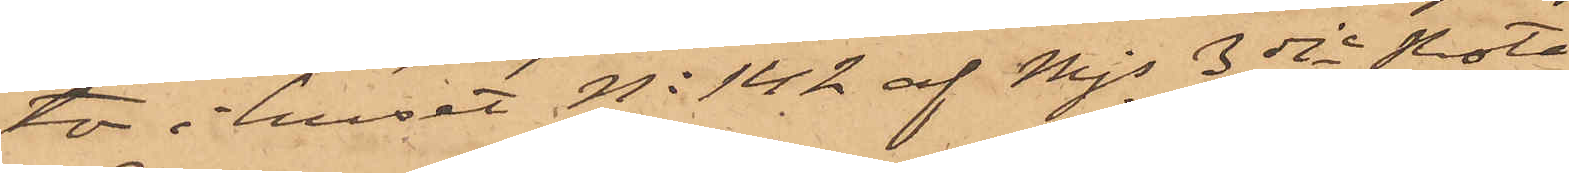tor i huset No 142 af Mjs 3dje Rote
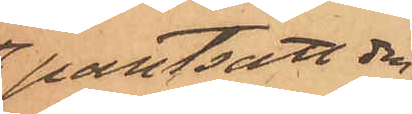pantsatt den
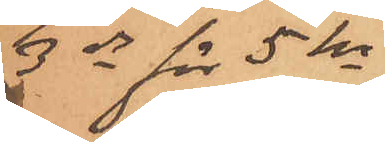3 ds för 5 kr
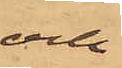och
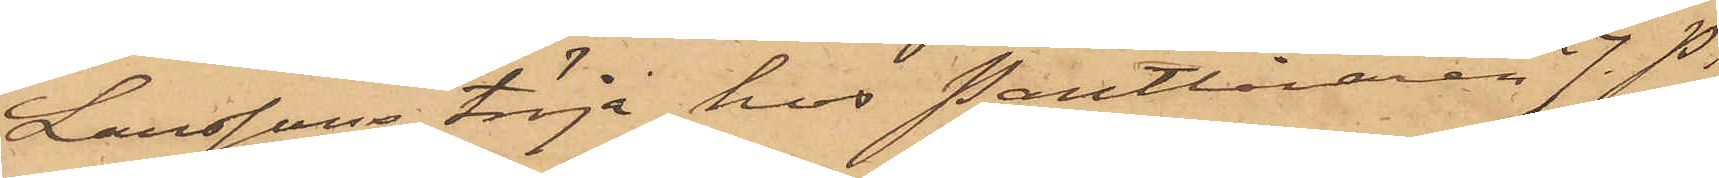Larssons tröja hos Pantlånaren J. P.
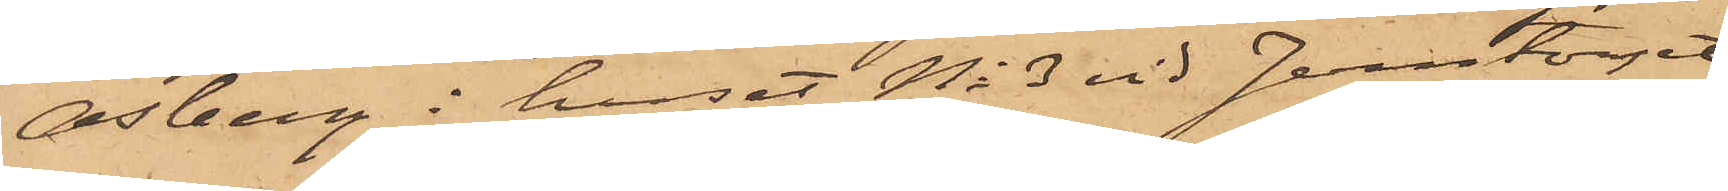Osberg i huset No 3 vid Jerntorget,
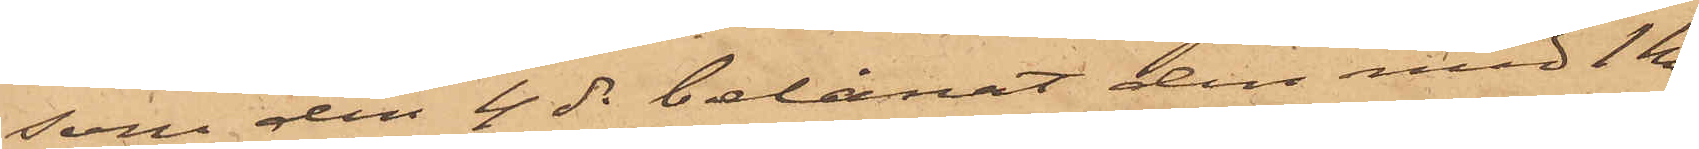som den 4 ds belånat den med 1 kr
